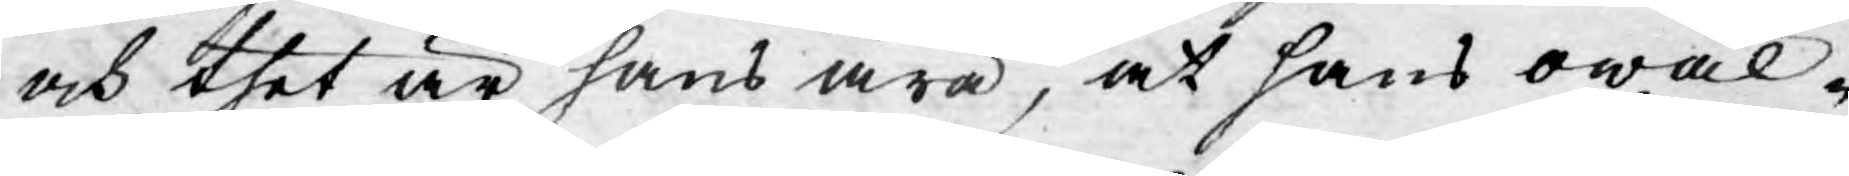och thet är hans ära, at hans owäl-
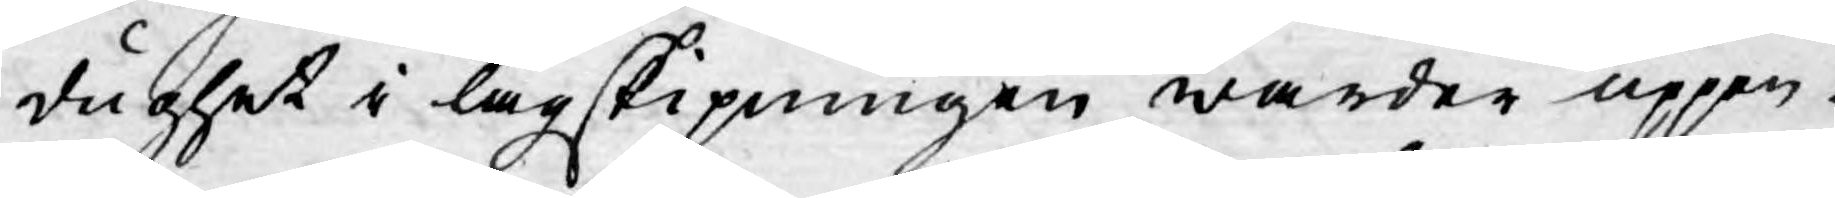dughet i lagskipningen warder uppen¬
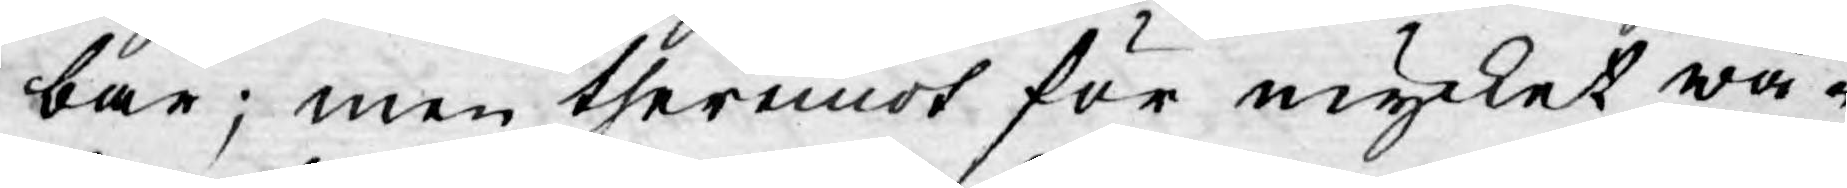bar; men theremot för mycket wå-
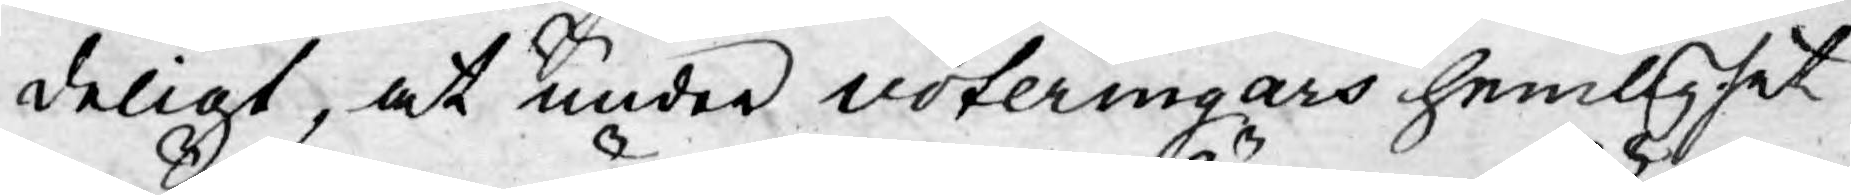deligt, at under voteringars hemlighet
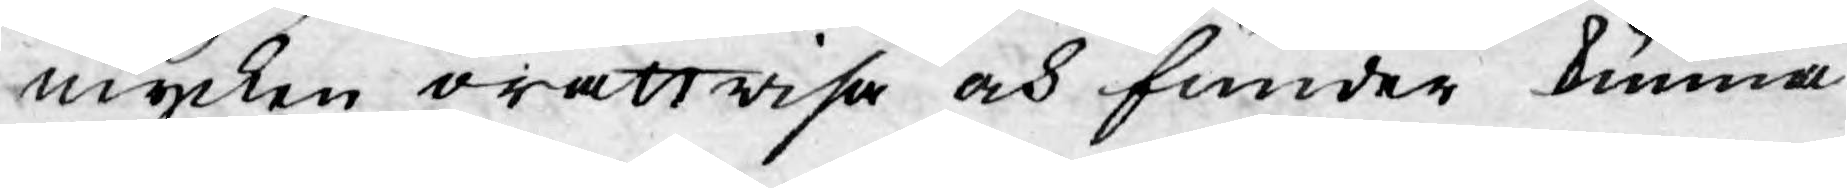mycken orättwisa och funder kunna
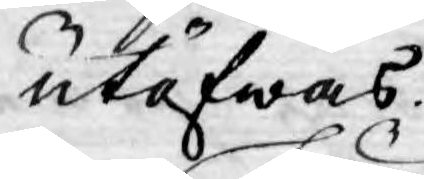utöfwas.
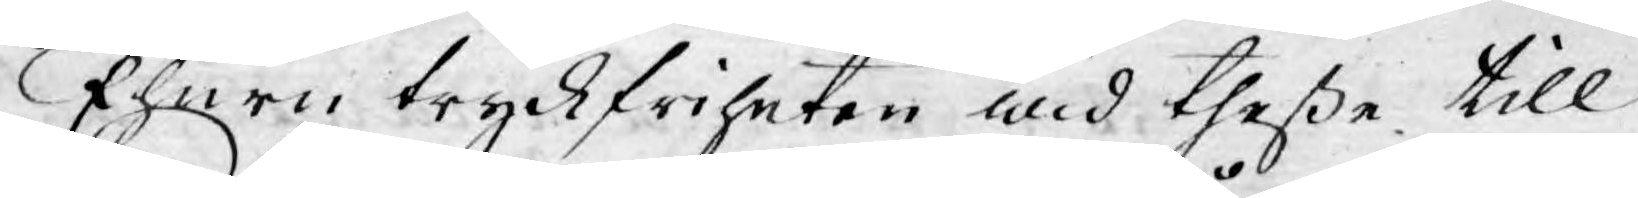Ehuru tryckfriheten wid theße till¬
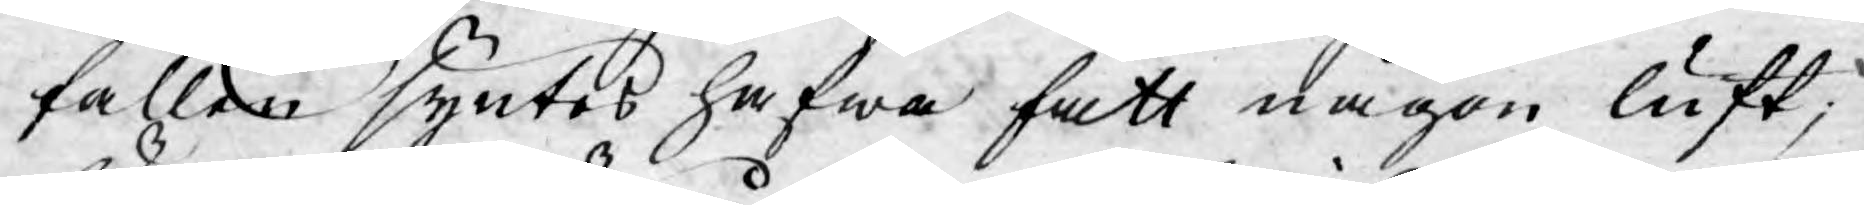fällen syntes hafwa fått någon luft;
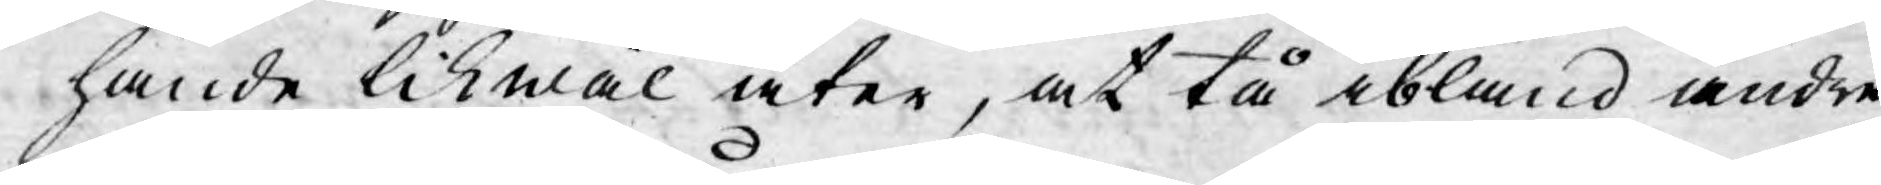hände likwäl åter, at tå ibland andre
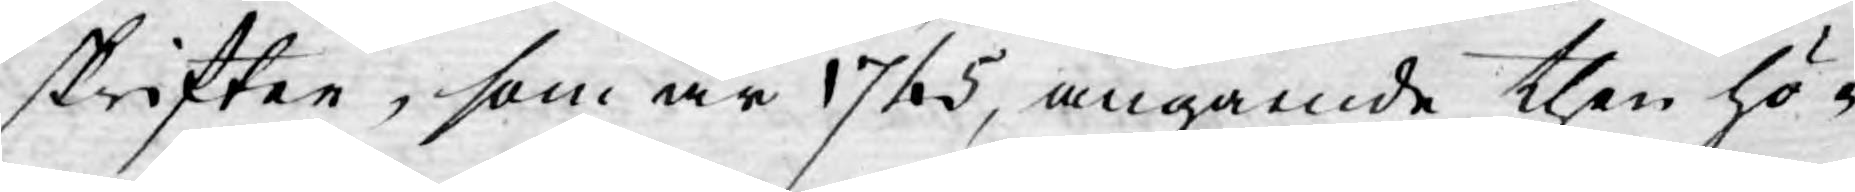skrifter, som år 1725, angående then hö¬
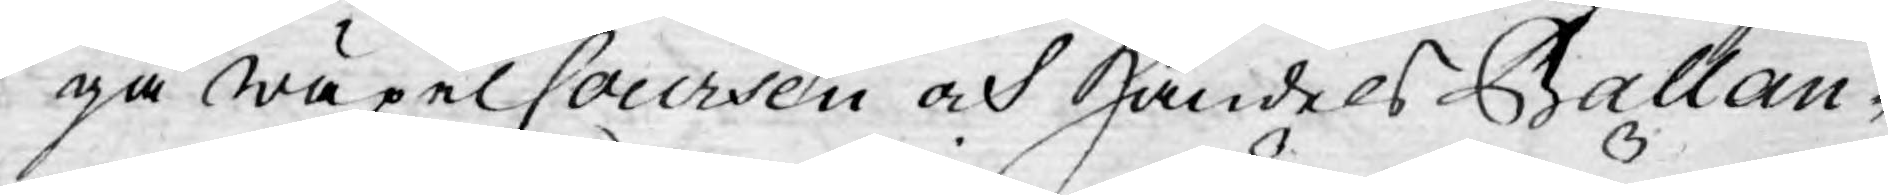ga wäxelCoursen och Handels Ballan-
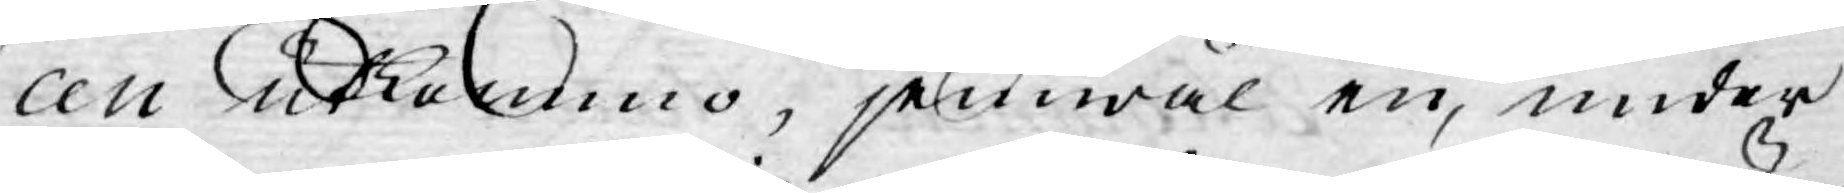cen utkommo, jemwäl en, under
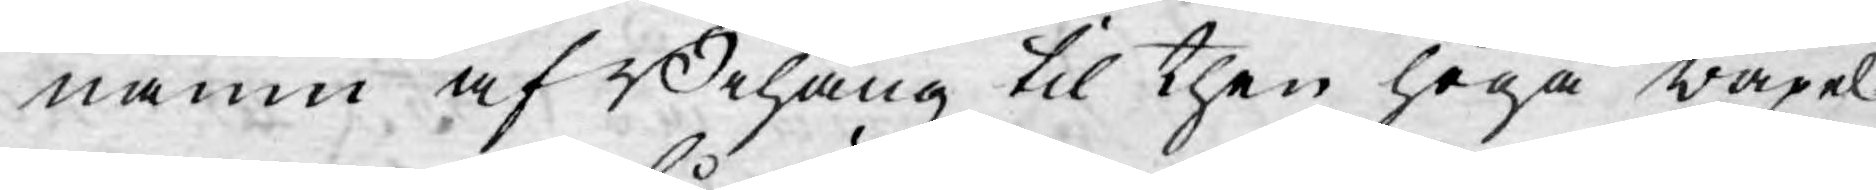namn af Bihang til then höga wäxel¬
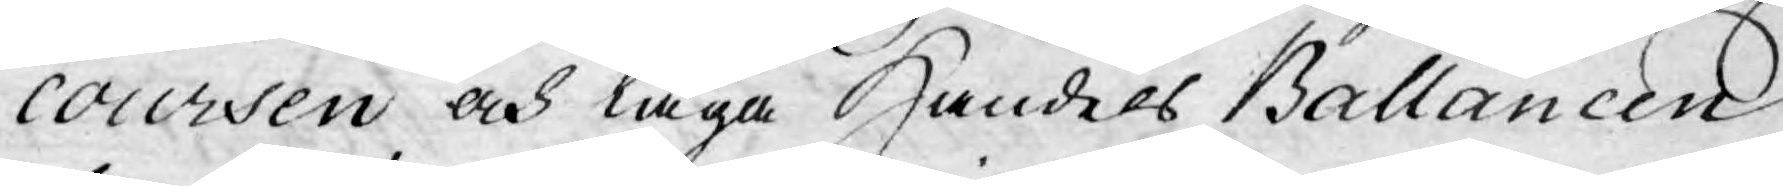coursen och låga Handels Ballancen
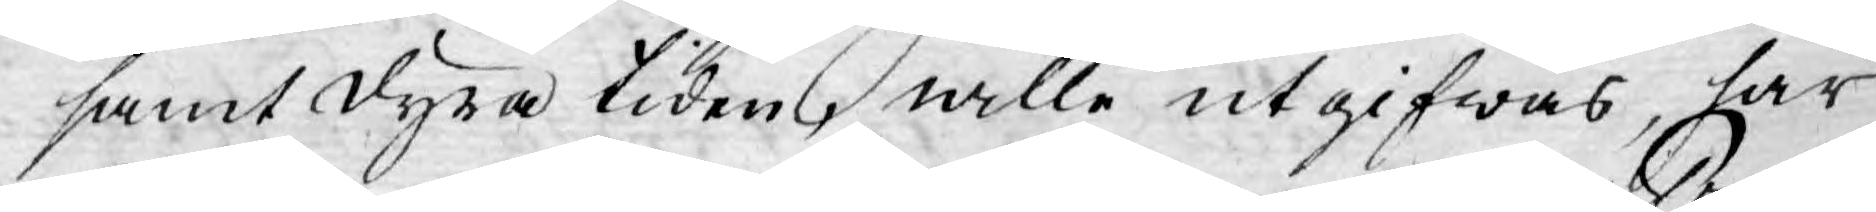samt dyra tiden, wille utgifwas, har
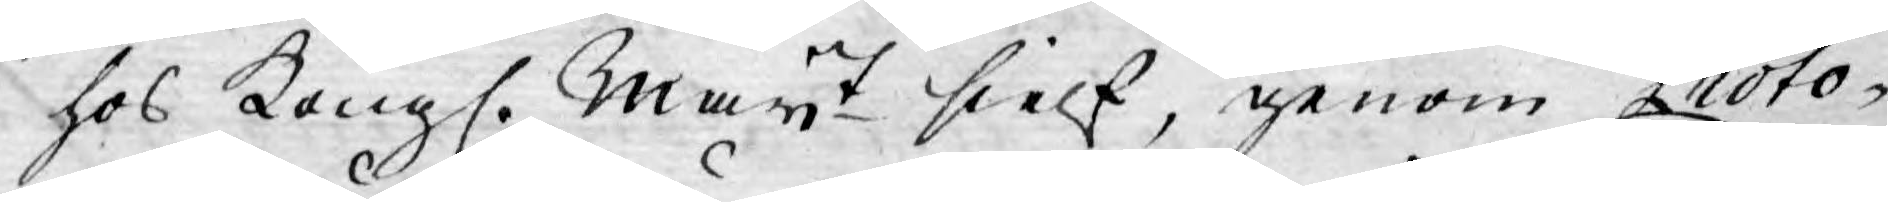hos Kongl. Mayt sielf, genom Proto¬
